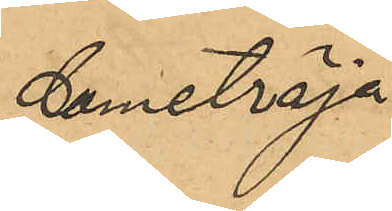dametröja
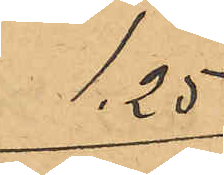1,25
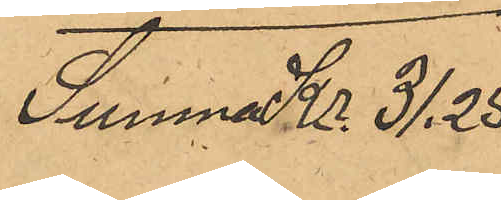Summa Kr. 31,25
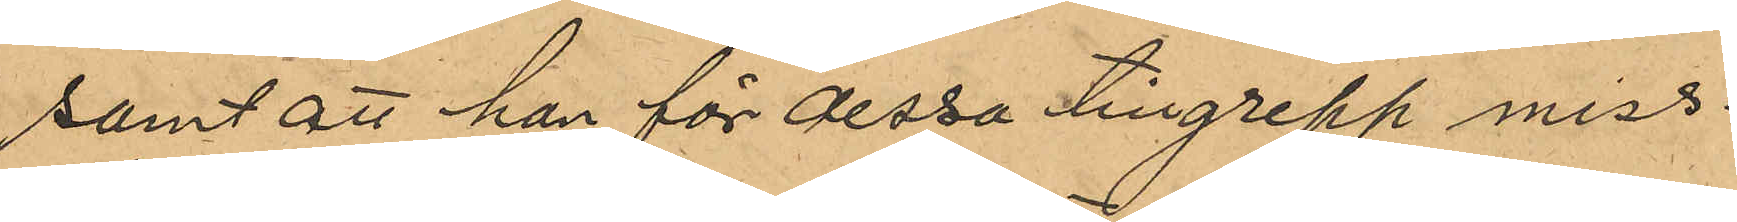samt att han för dessa tillgrepp miss¬
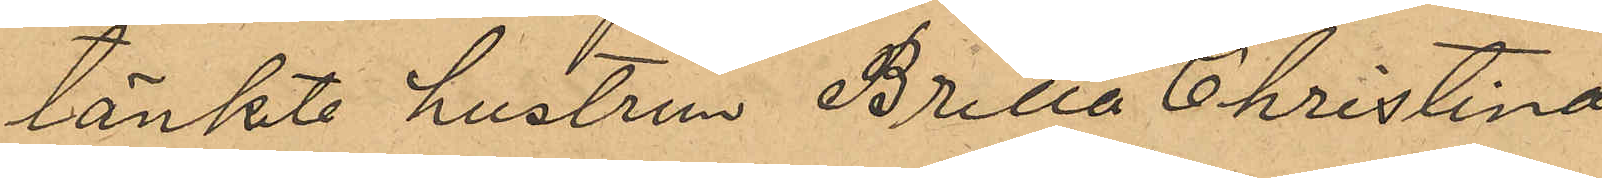tänkte hustrun Britta Christina
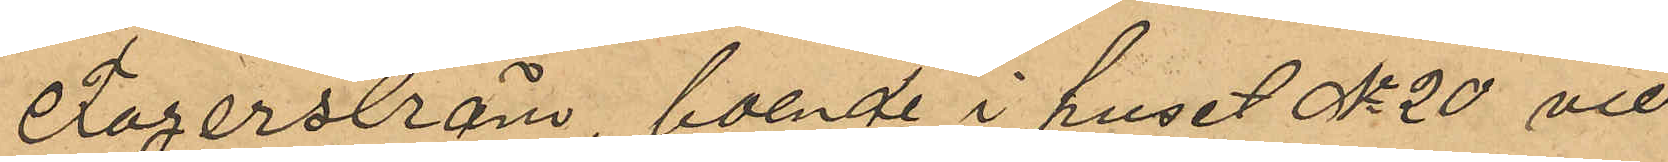Fagerström, boende i huset No 20 vid
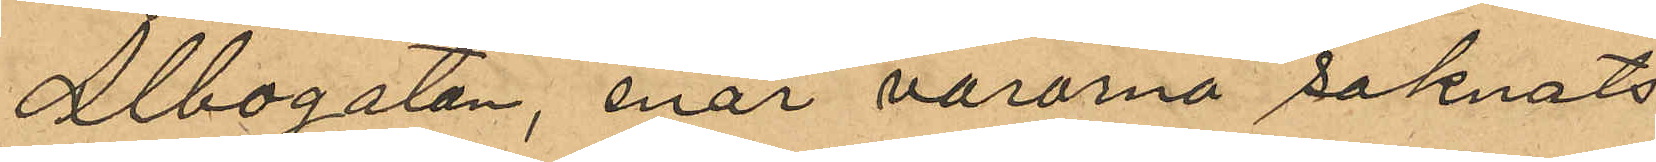Albogatan, enär varorna saknats
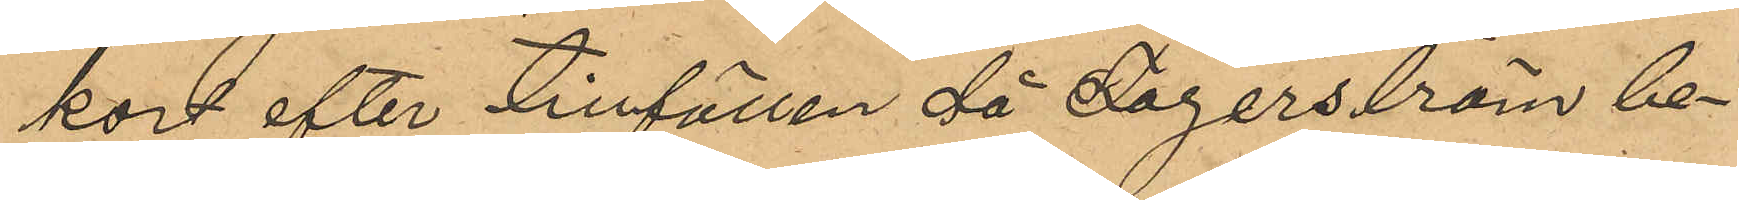kort efter tillfällen då Fagerström be¬
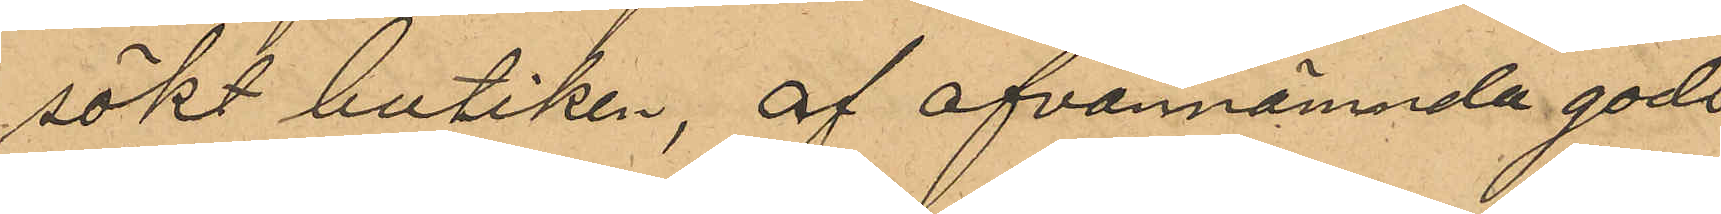sökt butiken, af ofvannämnda gods
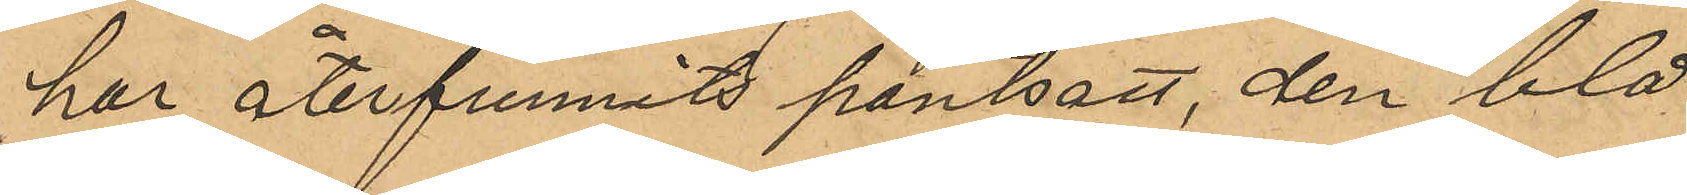har återfunnits pantsatt, den blå
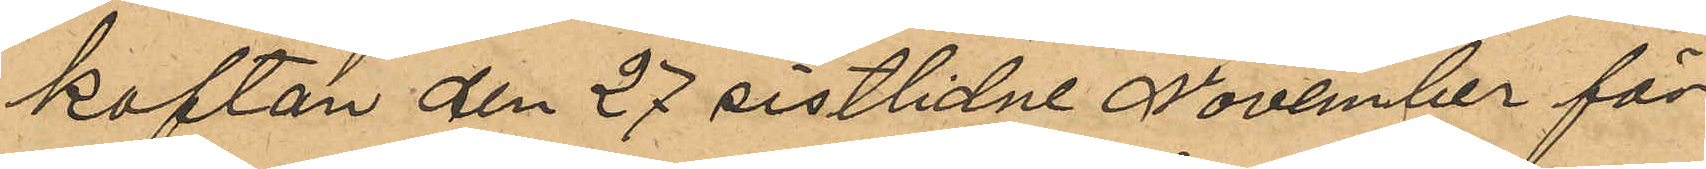koftan den 27 sistlidne November för
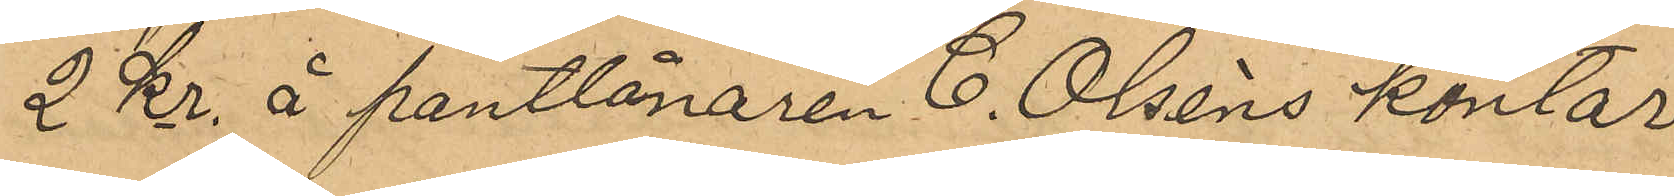2 kr. å pantlånaren C. Olséns kontor
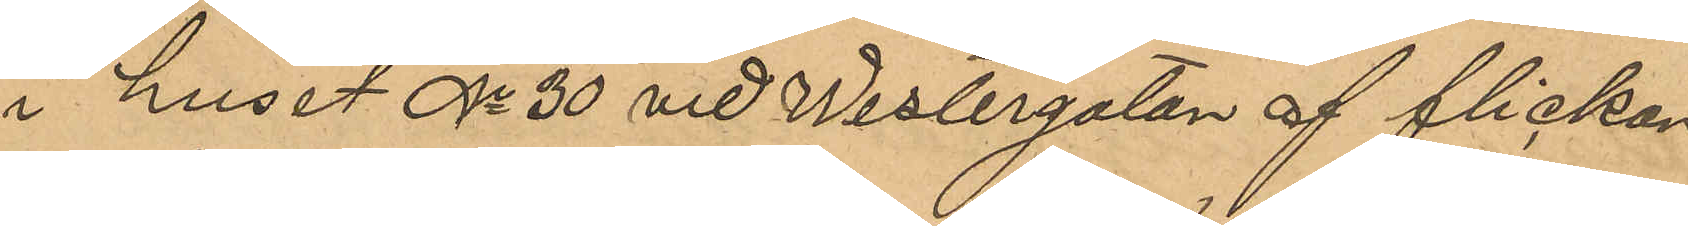i huset No 30 vid Westergatan af flickan
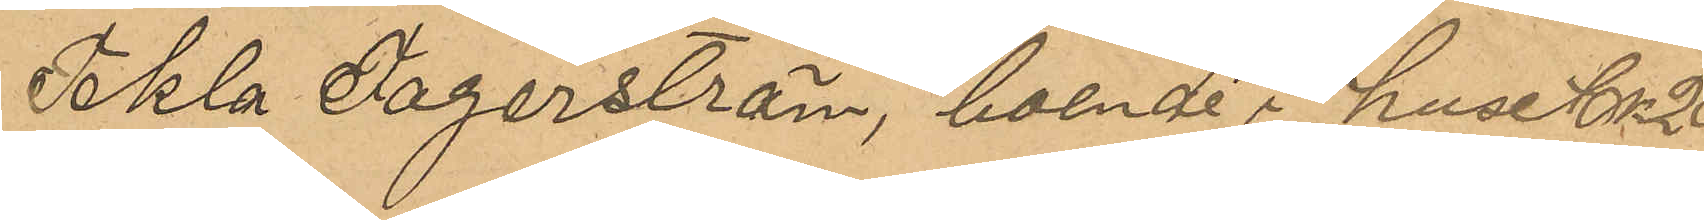Tekla Fagerström, boende i huset No 20
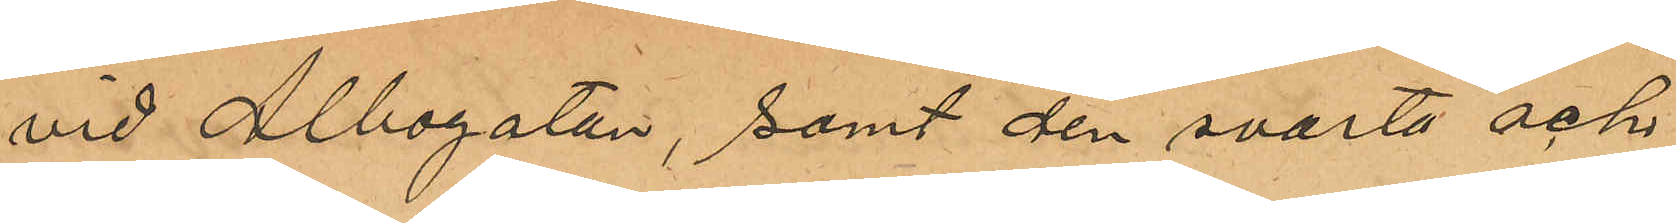vid Albogatan, samt den svarta och
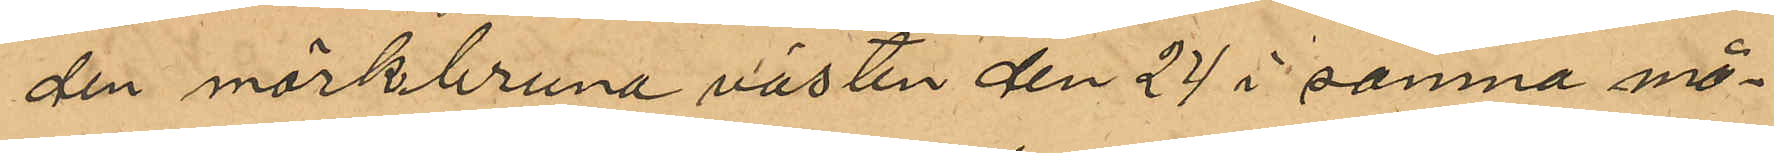den mörkbruna västen den 24 i samma må¬
